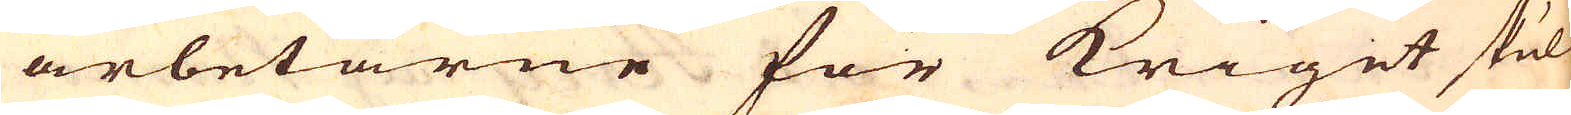arbetarne för krigit skul
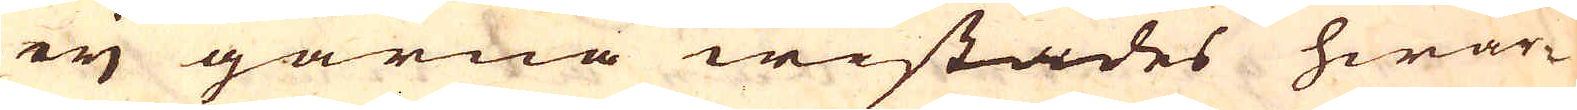eijj gärna wistades hwar-
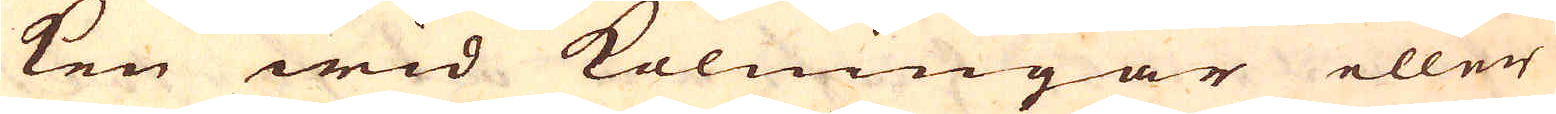ken wid kolningar eller
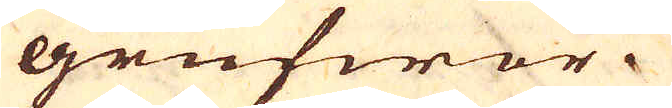grufwor.
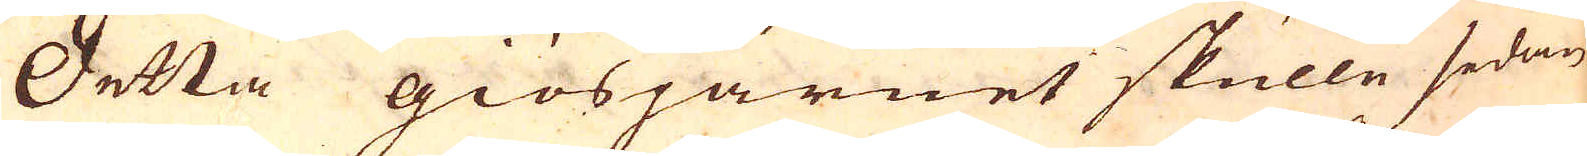Detta giösjärnet skulle sedan
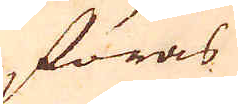föras
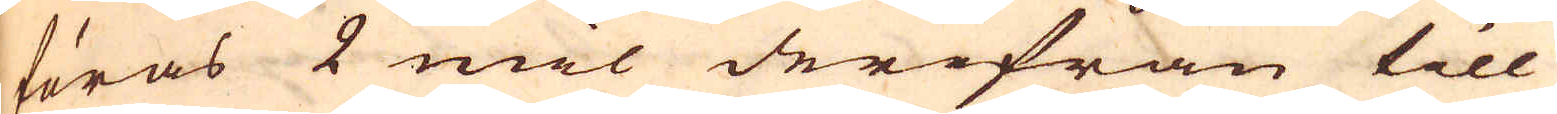föras 2 mil derifrån till
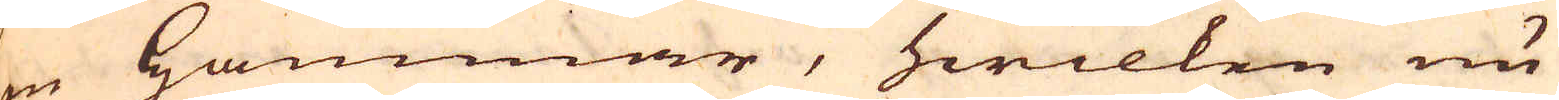en hammar, hwilken nu
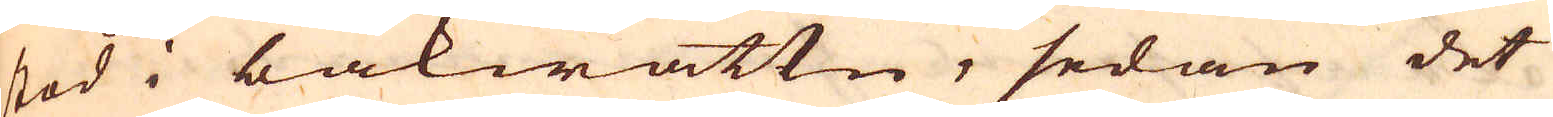stod i bakwattn, sedan det
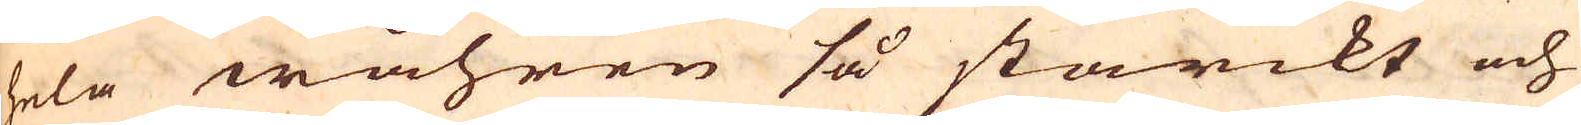hela wåhren så starckt och
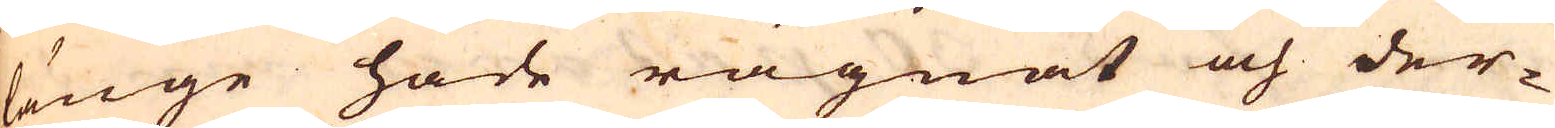länge hade rägnat och der-
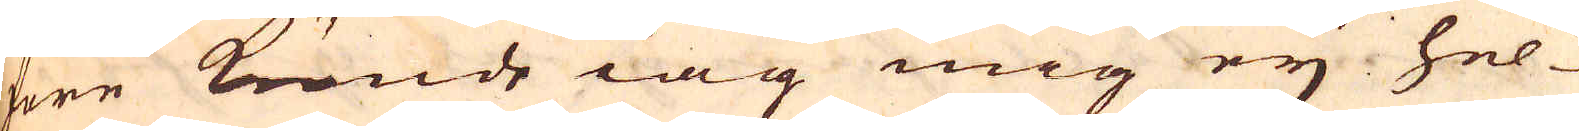före kunde iag mig eij hel-
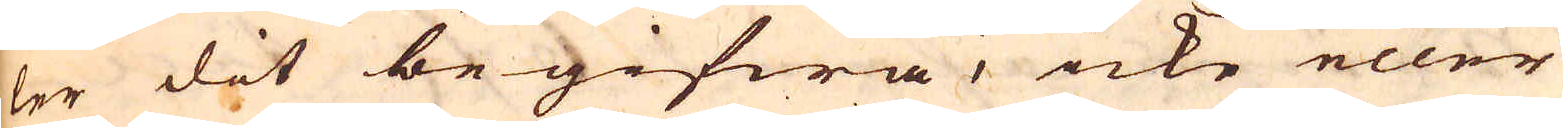ler dit begifwa, icke eller
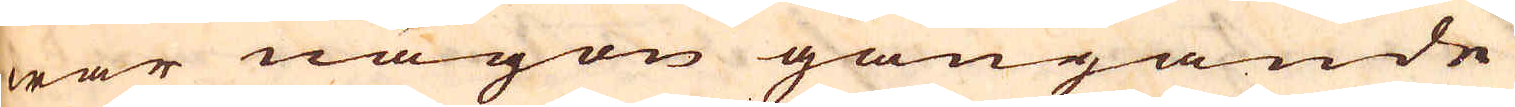war någon gångande
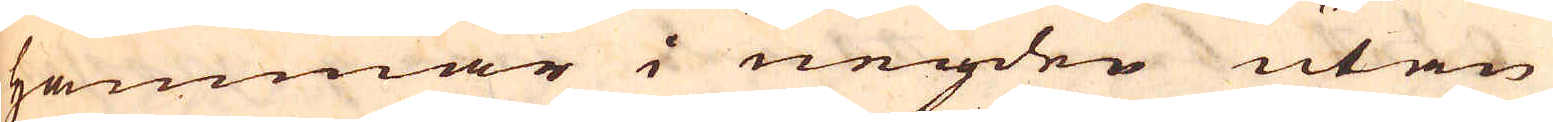hammar i neijden utan
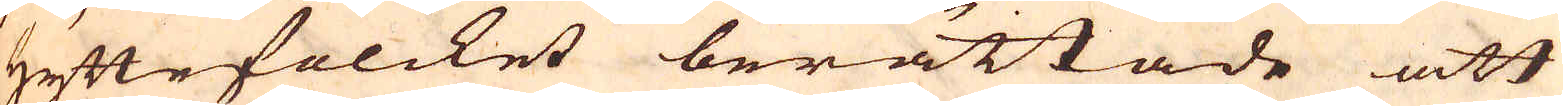hyttefolcket berättade att
